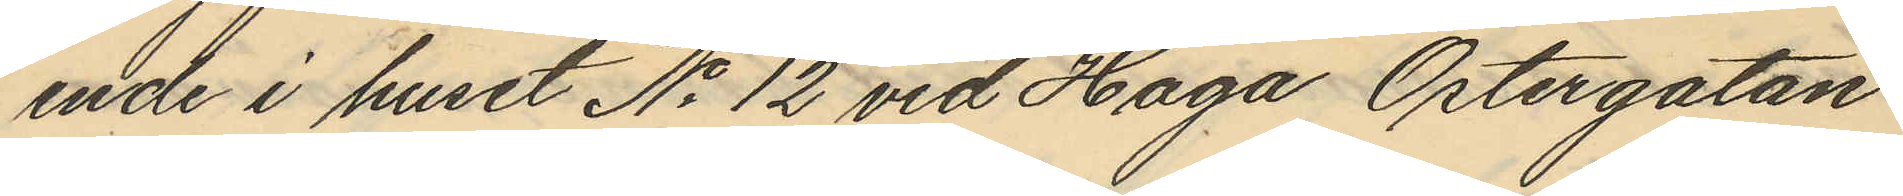ende i huset No 12 vid Haga Östergatan
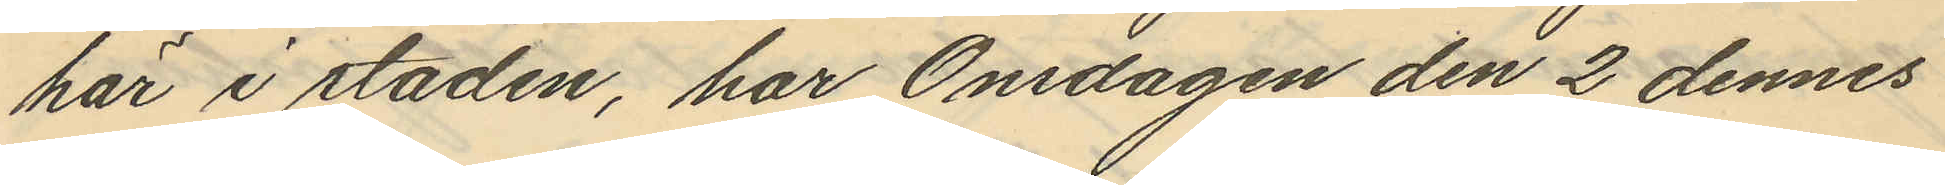här i staden, har Onsdagen den 2 dennes
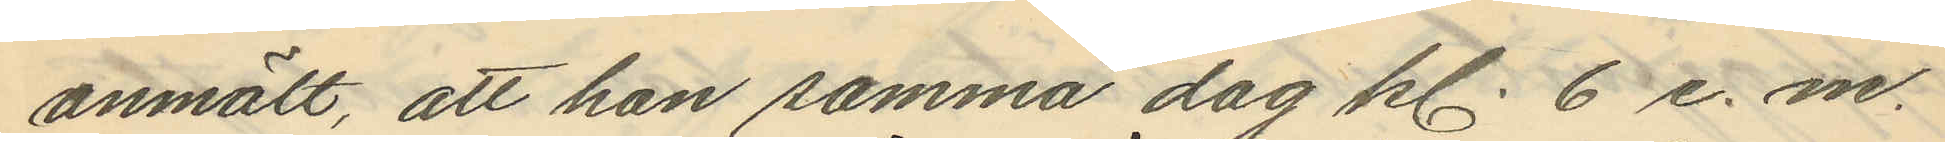anmält, att hon samma dag kl. 6 e. m.
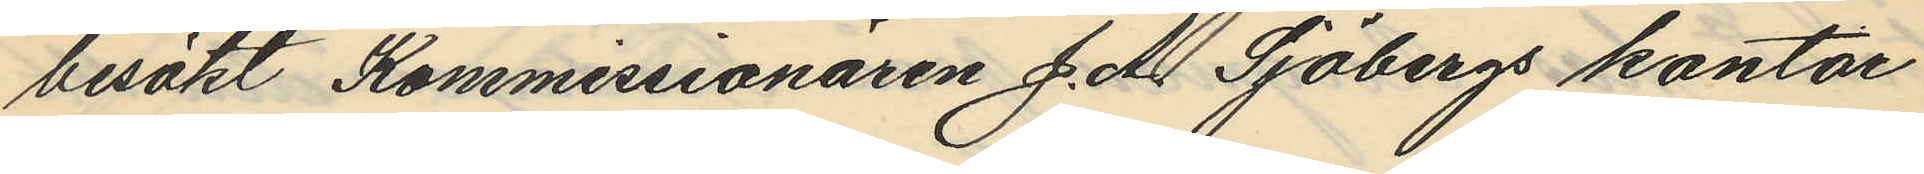besökt Kommissionären J. A. Sjöbergs kontor
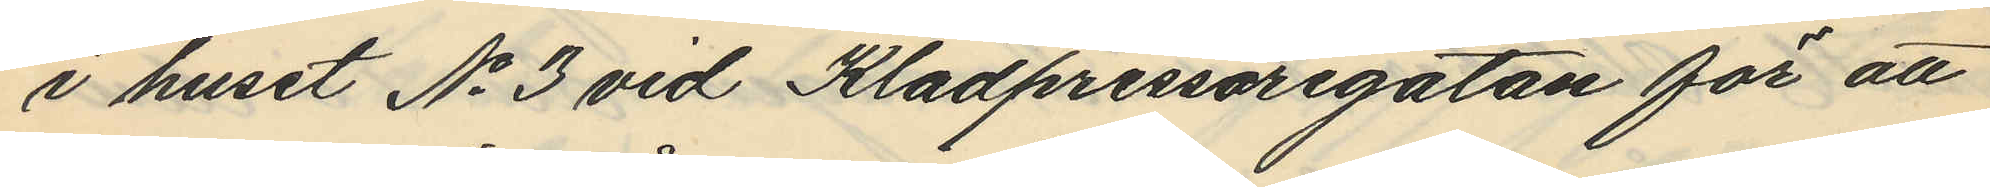i huset No 3 vid Klädpressaregatan för att
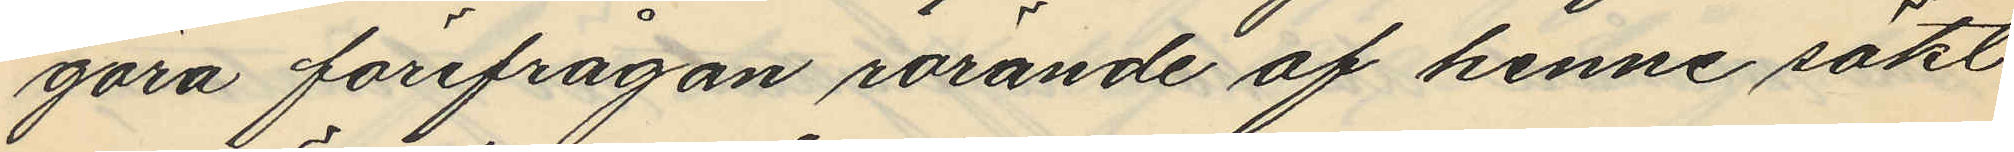göra förefrågan rörande af henne sökt
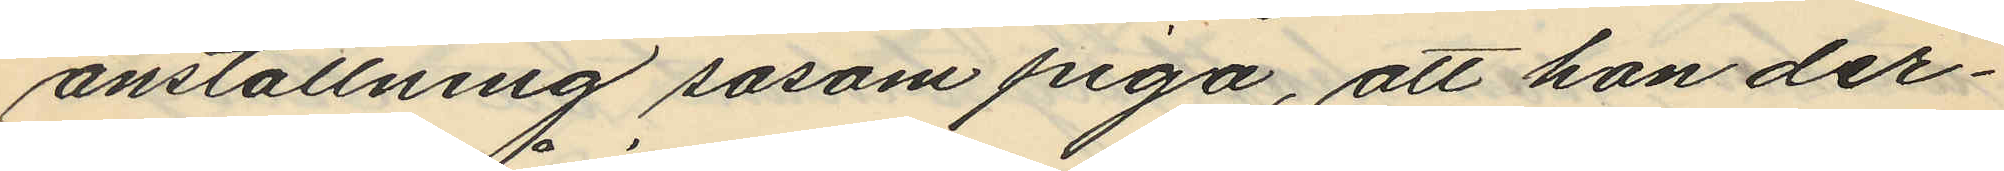anställning såsom piga, att hon der¬
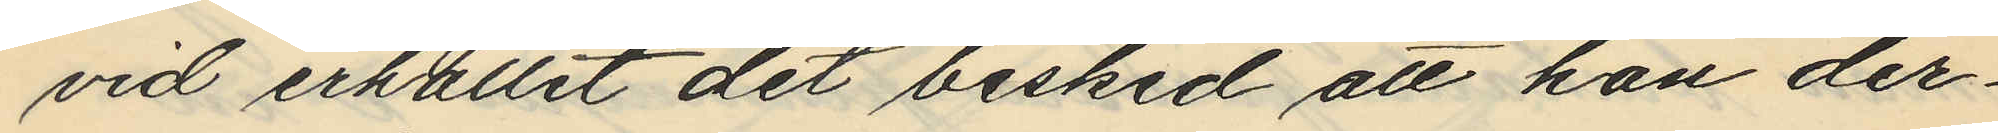vid erhållit det besked att hon der¬
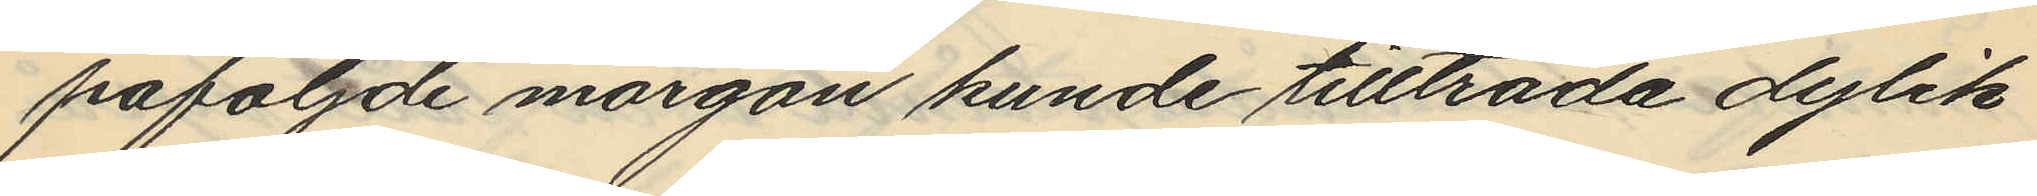påföljde morgon kunde tillträda dylik
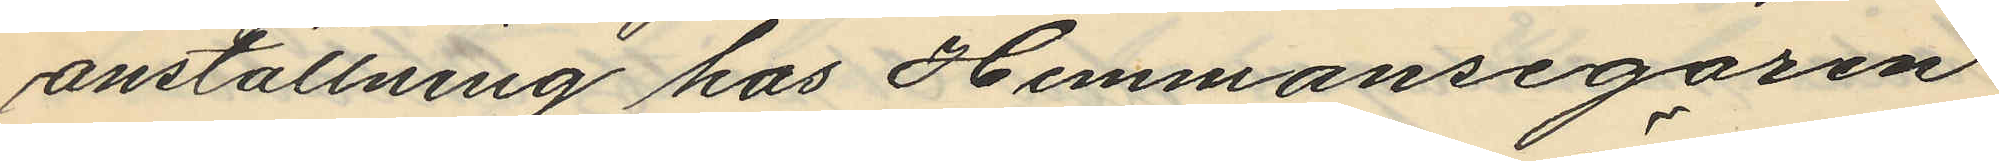anställning hos Hemmansegaren
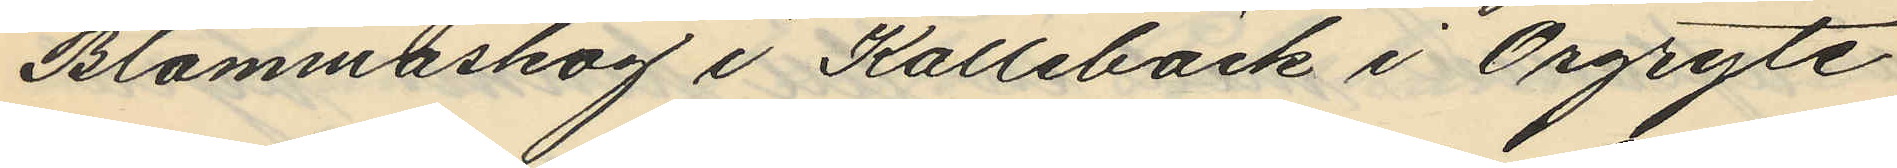Blommaskog i Kallebäck i Örgryte
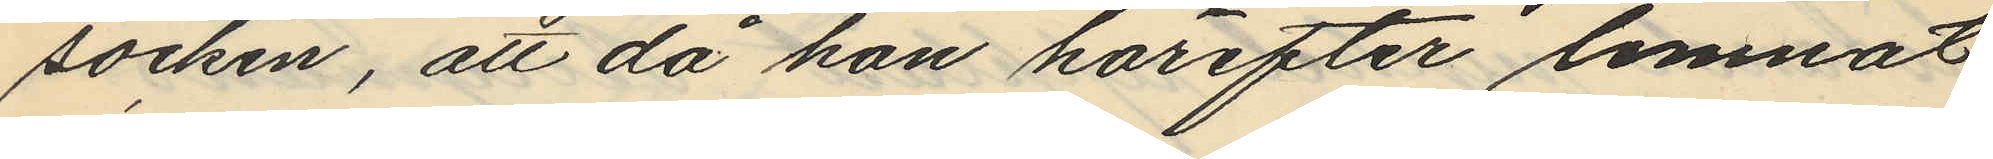socken, att då hon härefter lemnat
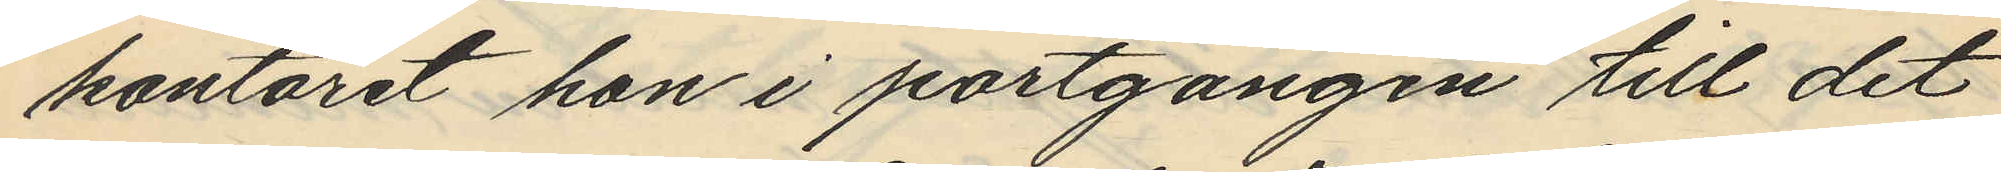kontoret hon i portgången till det
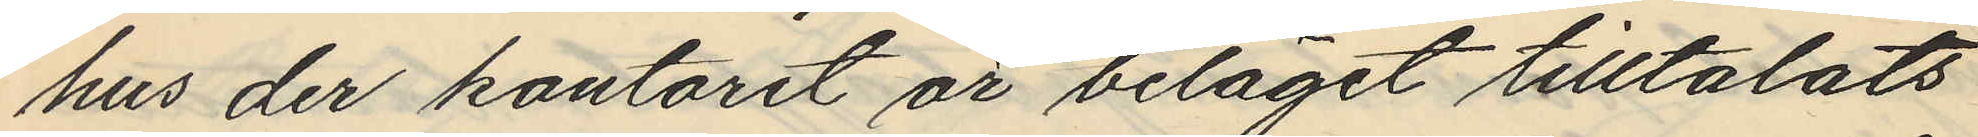hus der kontoret är beläget tilltalats
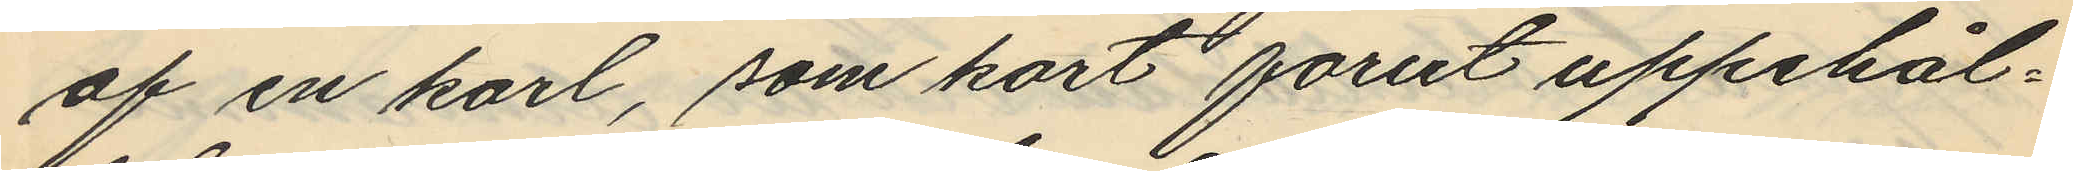af en karl, som kort forut uppehål¬
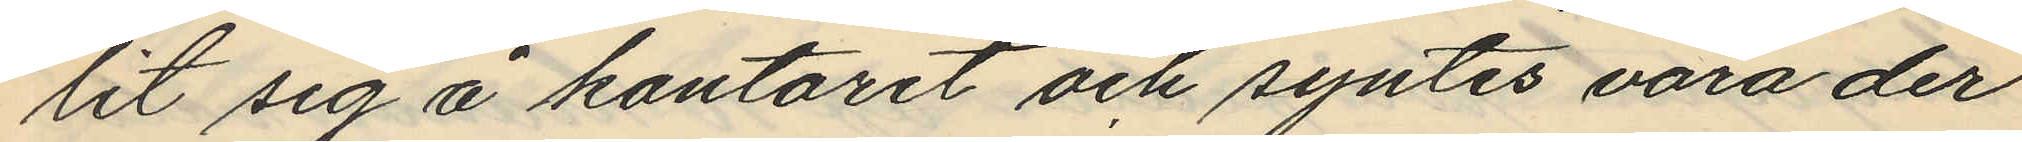lit sig å kontoret och syntes vara der
